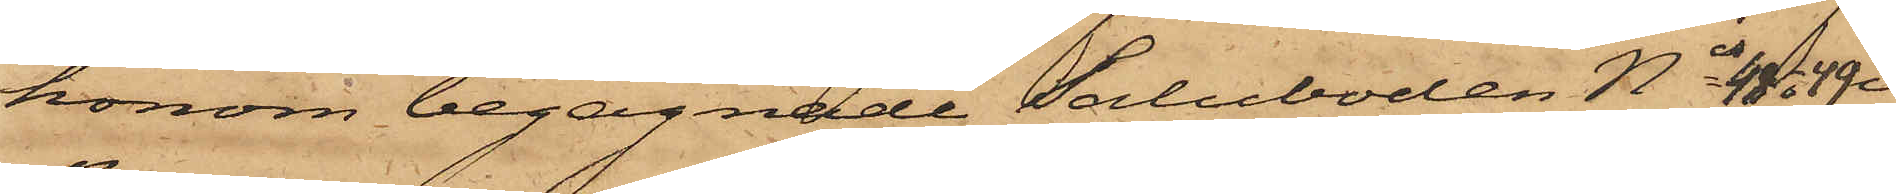honom begagnade Saluboden Nis 48 o 49 i
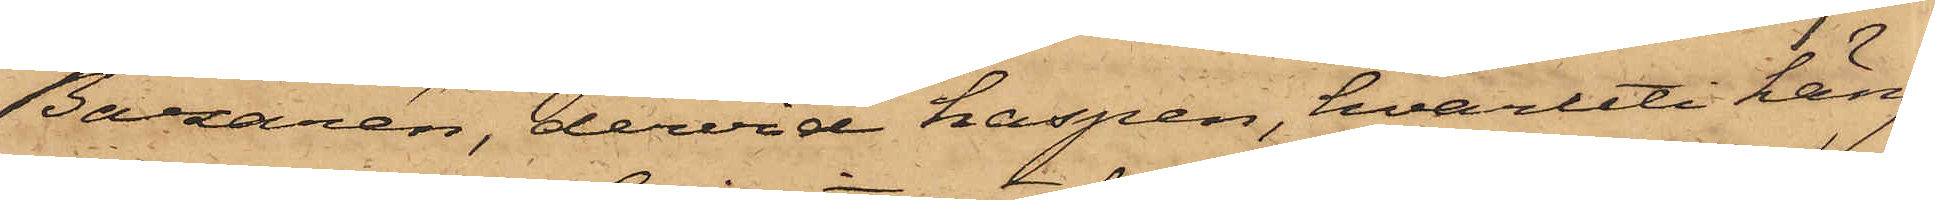Bazaren, dervid haspen, hvaruti häng¬
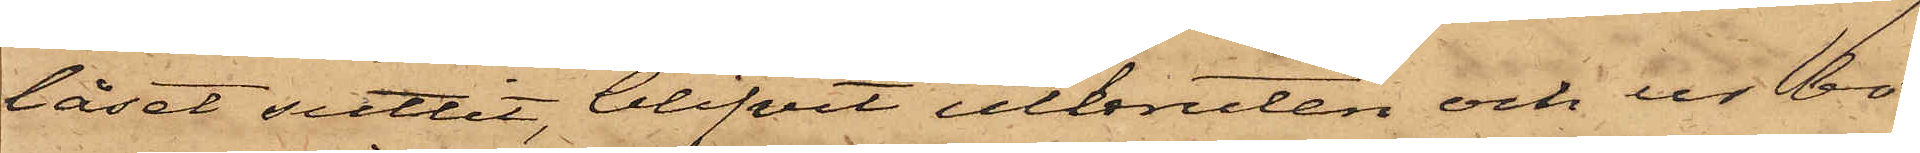låset suttit, blifvit utbruten och ur bo¬
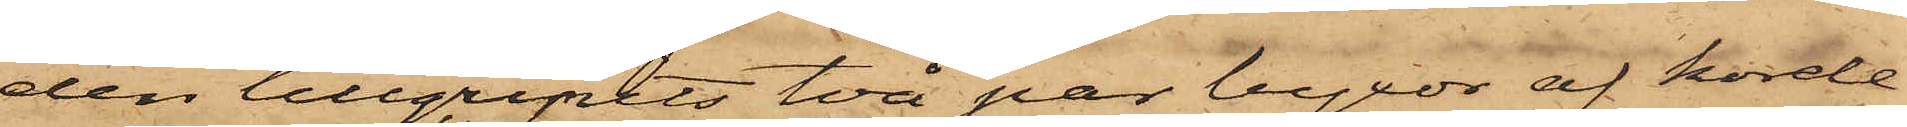den tillgripits två par byxor af korde¬
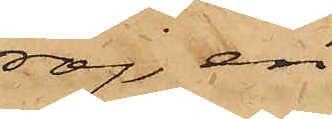roj, en
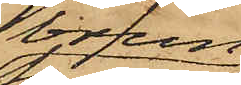brun
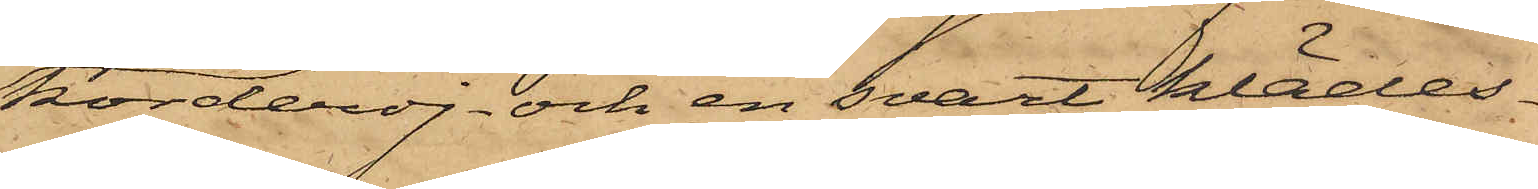korderoj- och en svart klädes¬
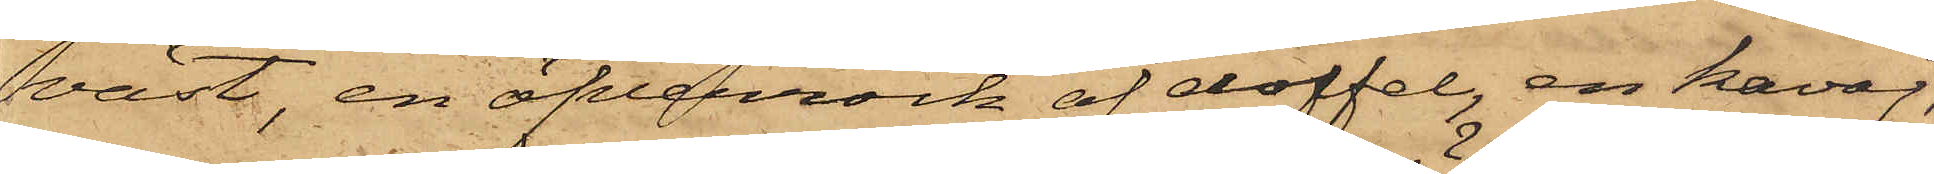väst, en öfverrock af doffel, en kavaj,
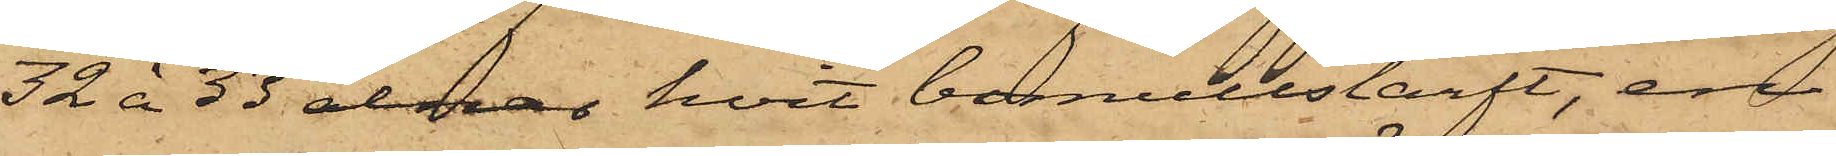32 à 33 alnar hvit bomullslärft, en
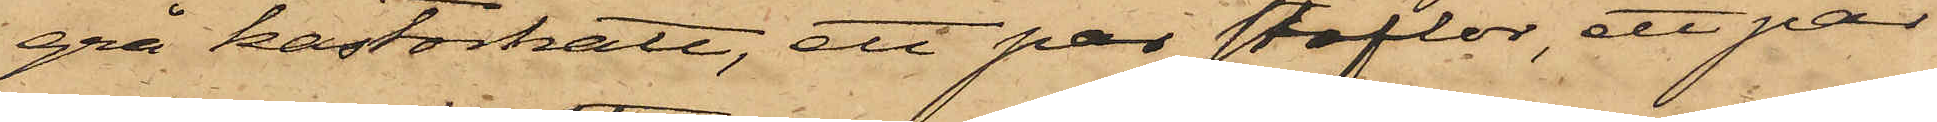grå kastorhatt, ett par stöflor, ett par
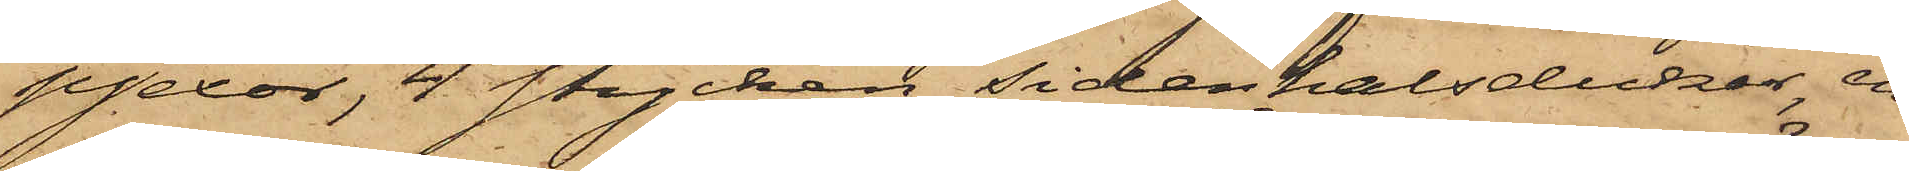pjexor, 4 stycken sidenhalsdukar, en
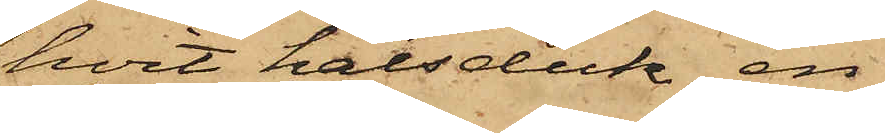hvit halsduk, en
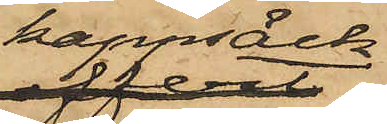kappsäck,
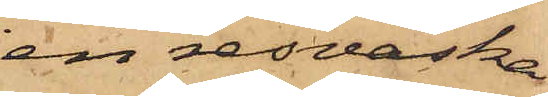en resväska,
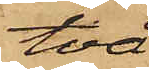två
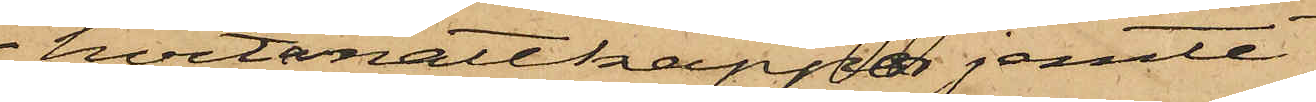hvita nattkappor jemte
